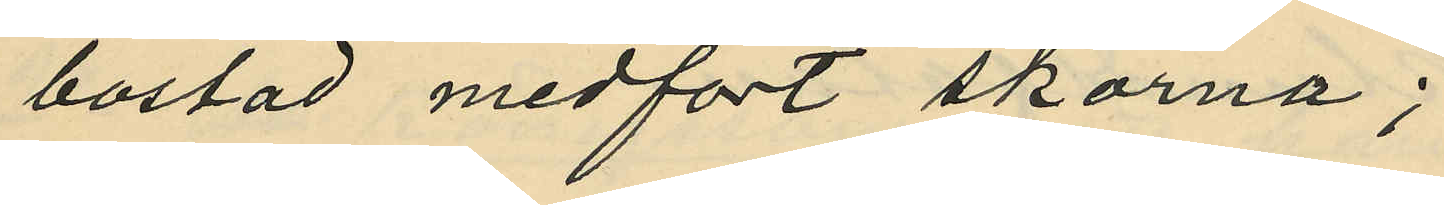bostad medfört skorna;
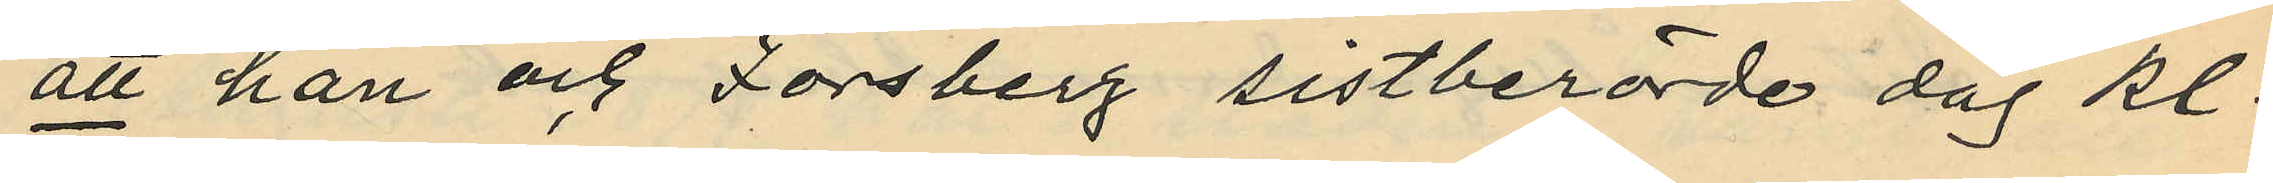att han och Forsberg sistberörde dag kl.
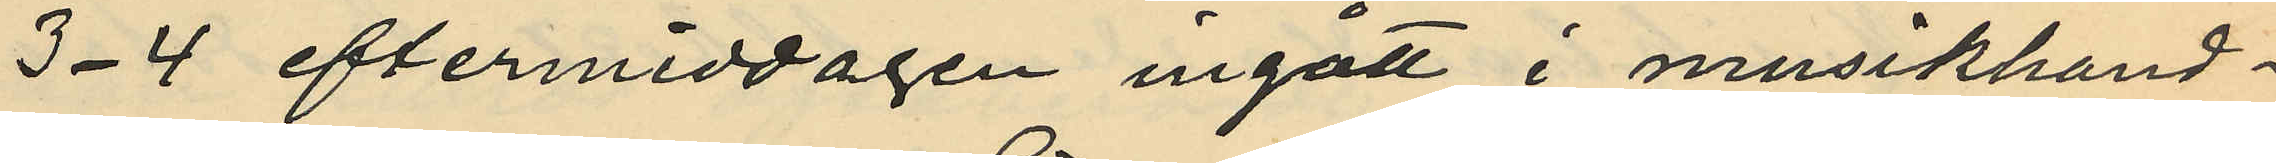3-4 eftermiddagen ingått i musikhand¬
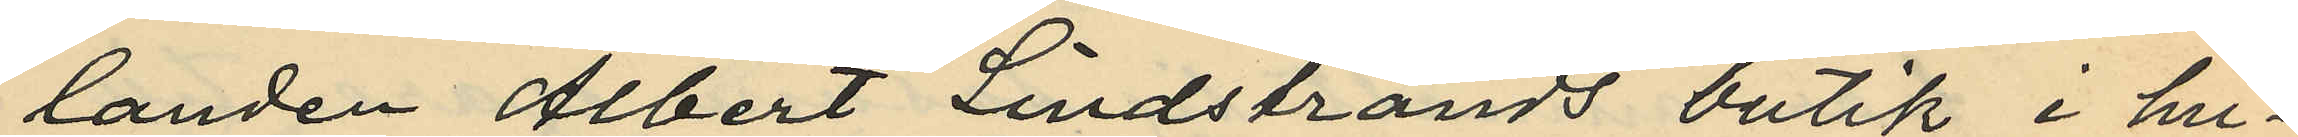landen Albert Lindstrands butik i hu¬
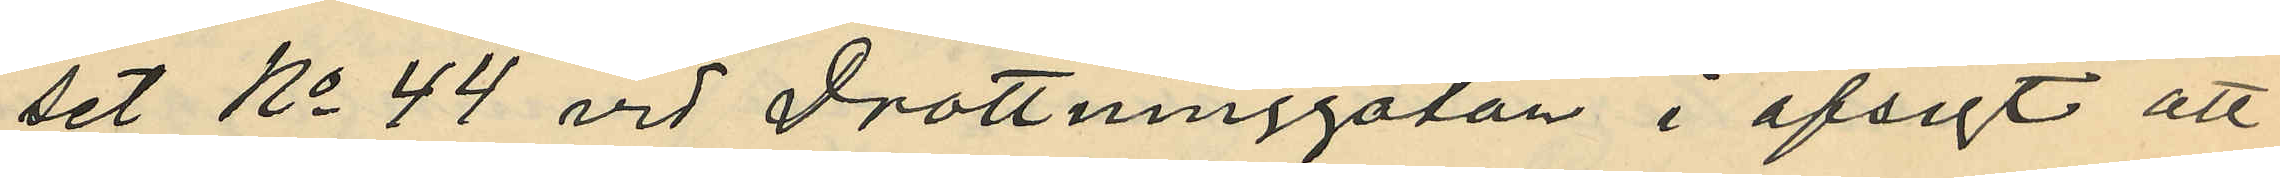set No 44 vid Drottninggatan i afsigt att
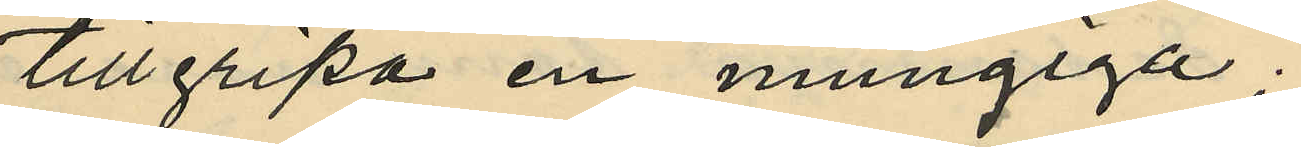tillgripa en mungiga;
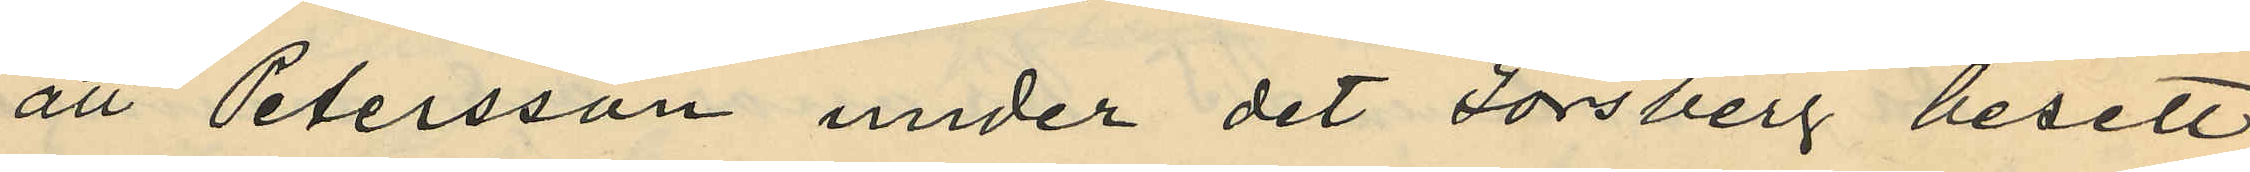att Petersson under det Forsberg besett
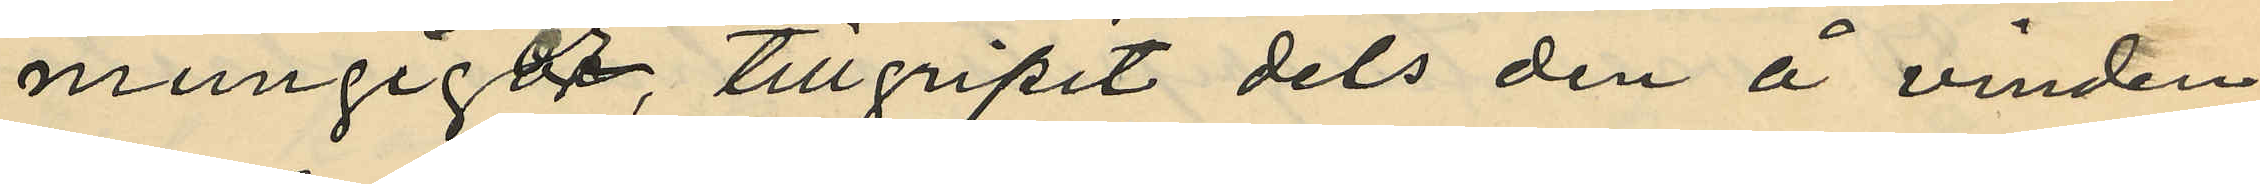mungigor, tillgripit dels den å vinden
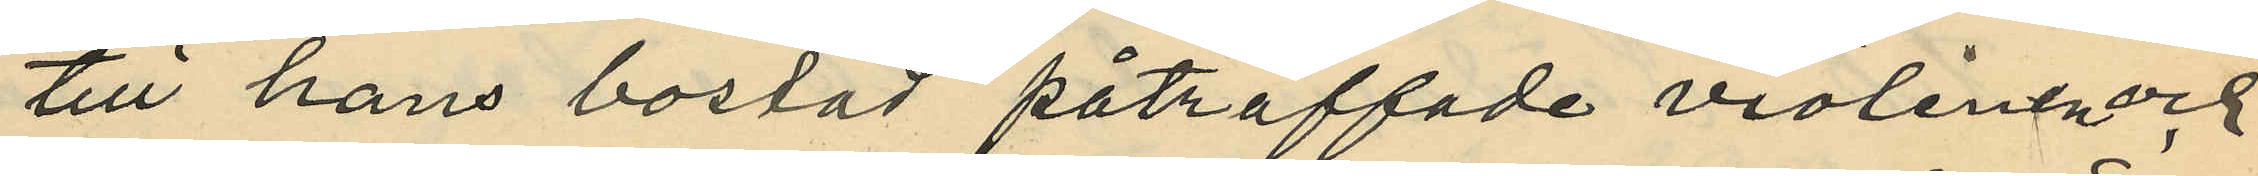till hans bostad påträffade violinen, och
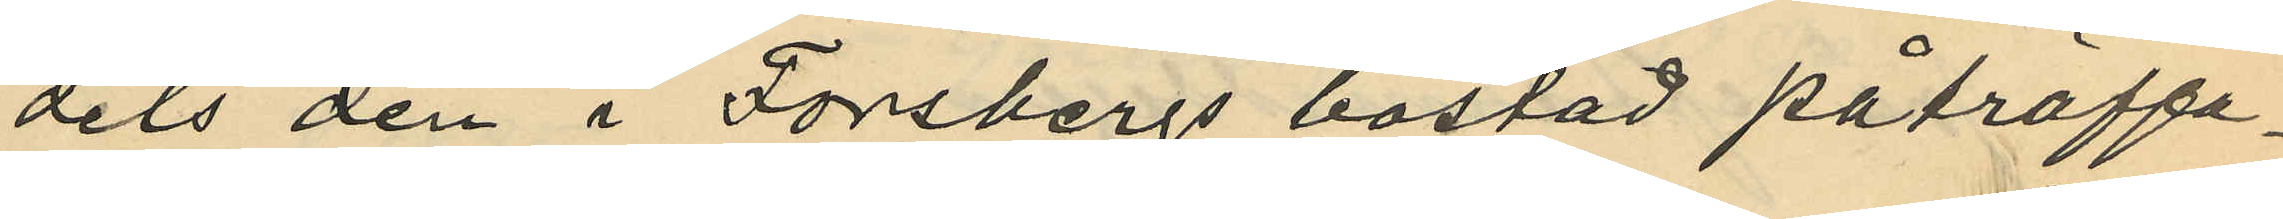dels den i Forsbergs bostad påträffa¬
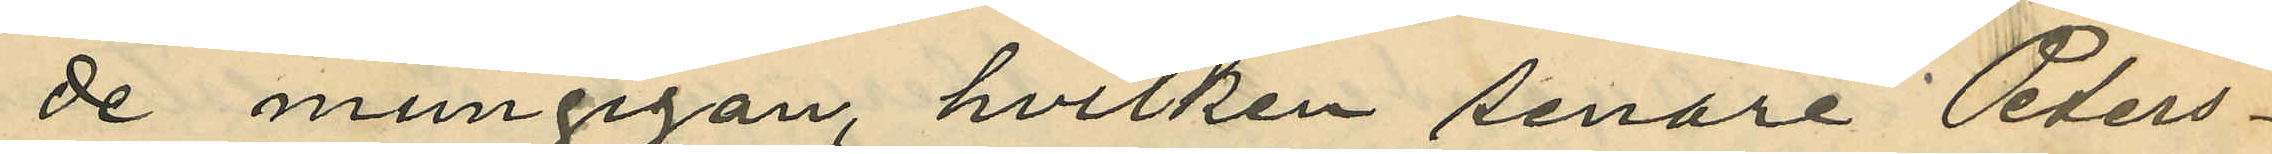de mungigan, hvilken senare Peters¬
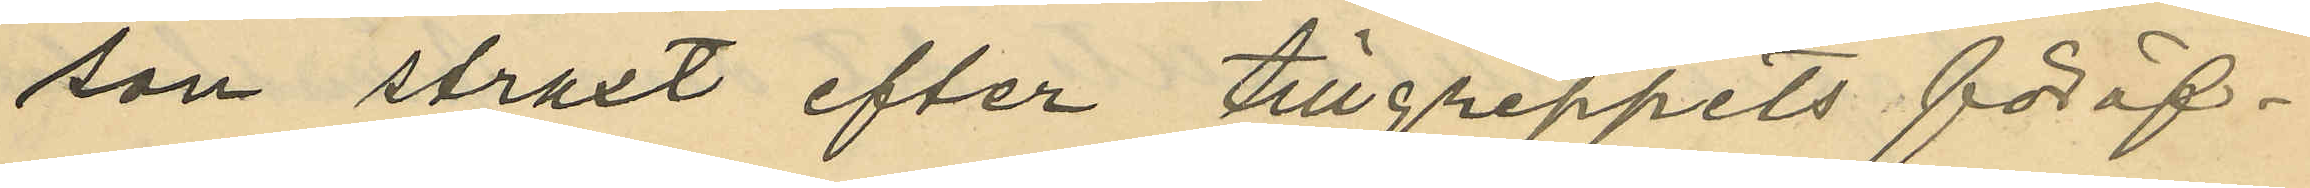son straxt efter tillgreppets föröf¬
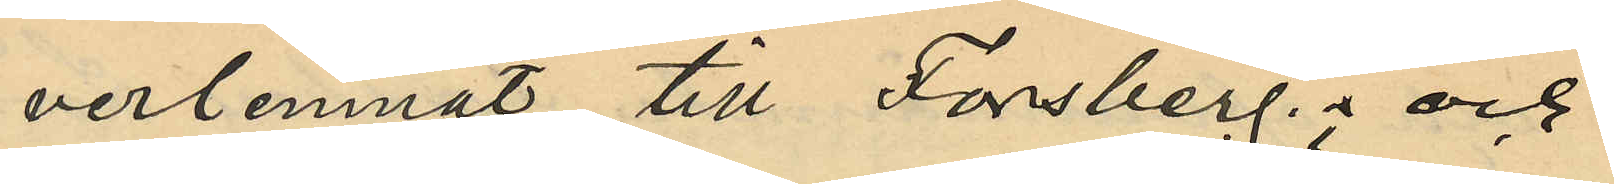verlemnat till Forsberg; och
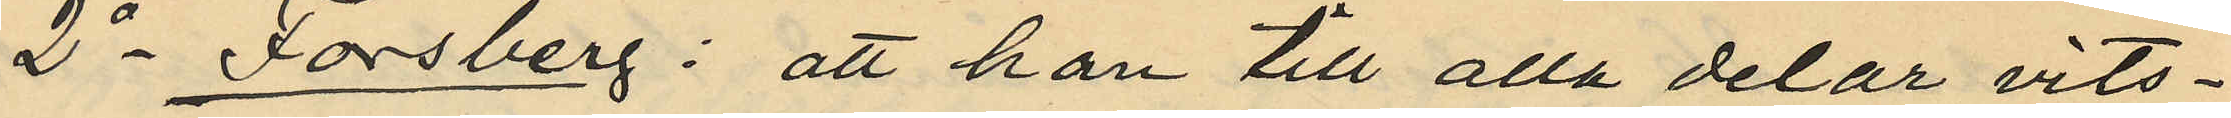2o Forsberg: att han till alla delar vits¬
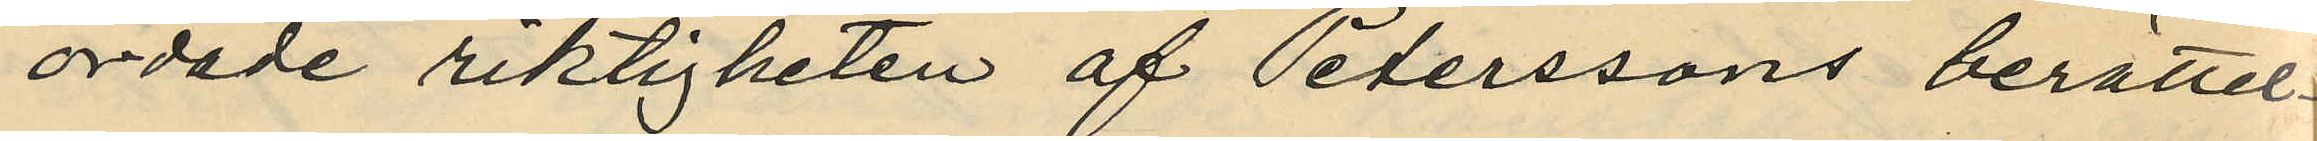ordade riktigheten af Peterssons berättel¬
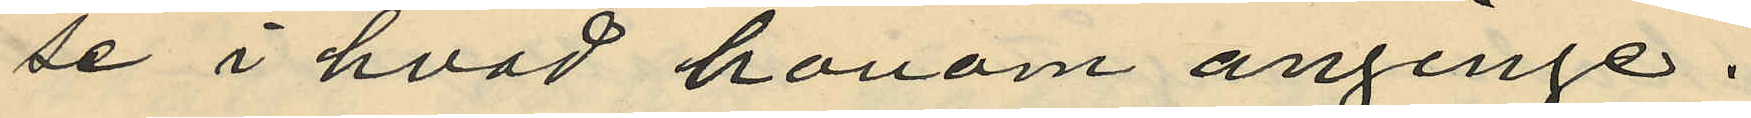se i hvad honom anginge.
